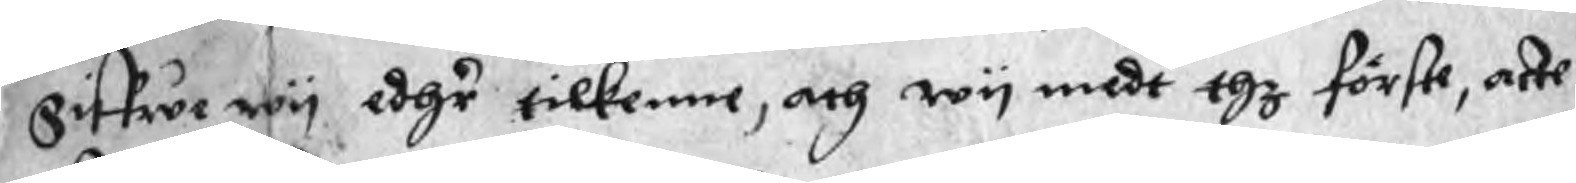Giffwe wy edhr tilkenne, och wy medt thz förste, atte
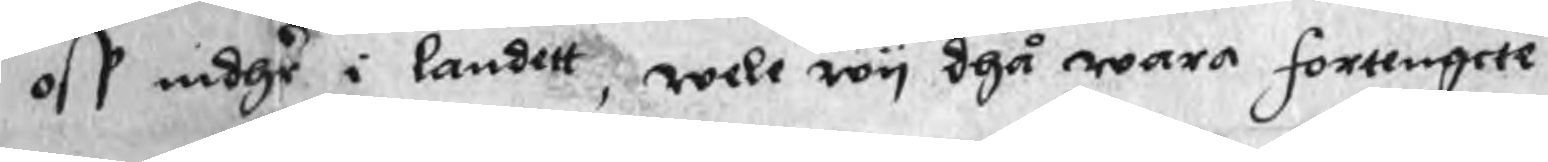oss indhr i landett, wele wy dhå wara fortengete
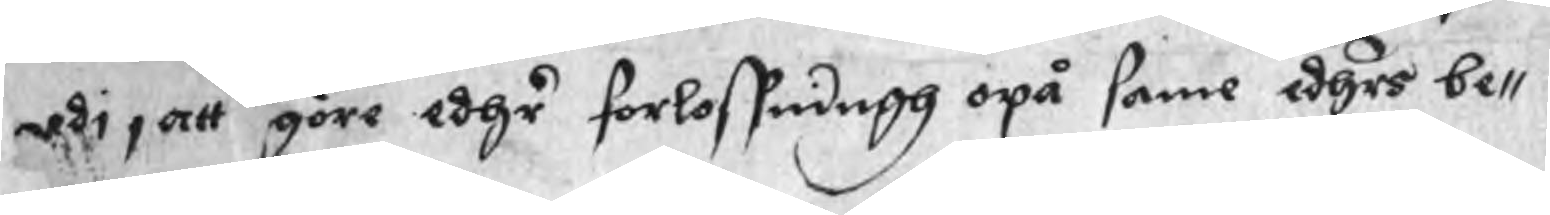udi, att göre edhr förlossningh opå same edhrs be¬
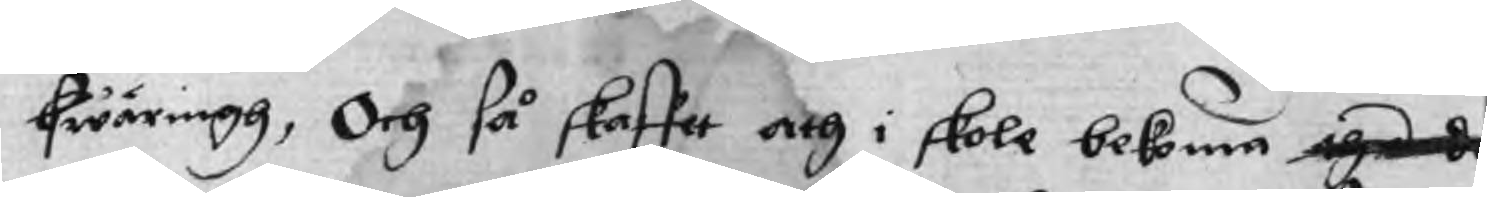hwäringh, Och så skaffet ath i skole bekoma de
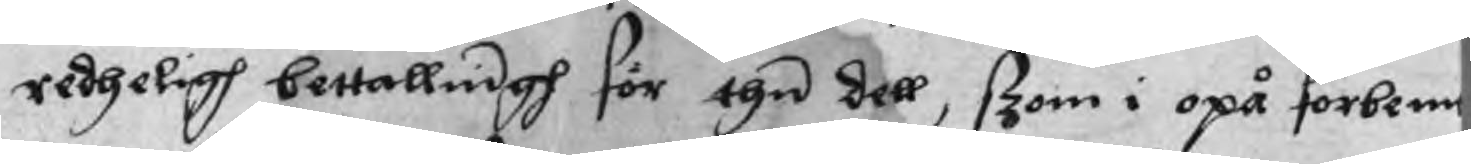redheligh bettallnigh för thn dell, ßzom i opå förbemt
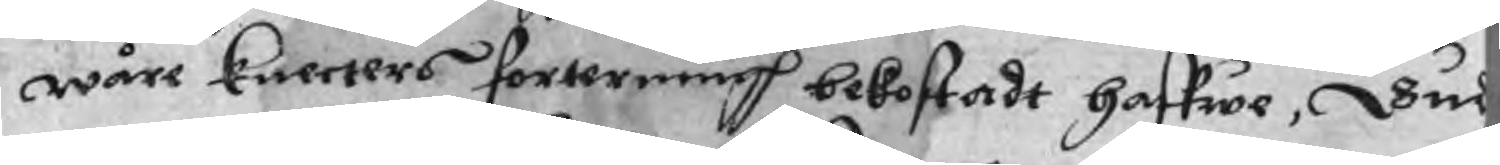wåre Knecters förterningh bekostadt haffwe, Vul
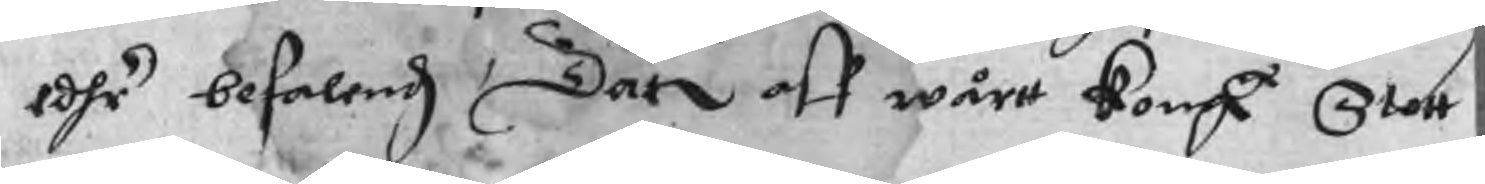edhr befalendz, Dat aff wårtt Kongl Slott
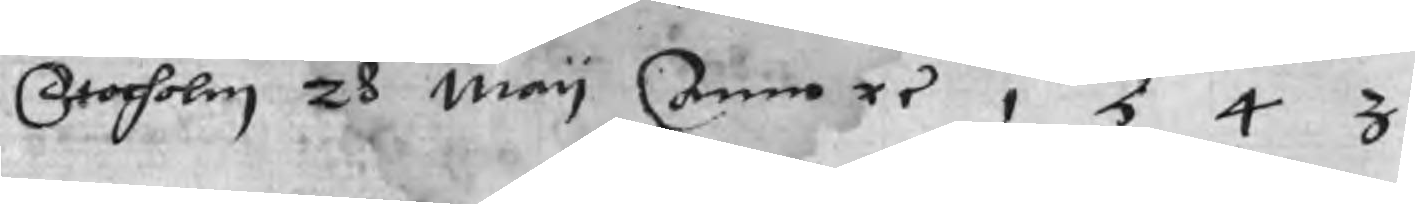Stocholm 28 May Anno ri 1543
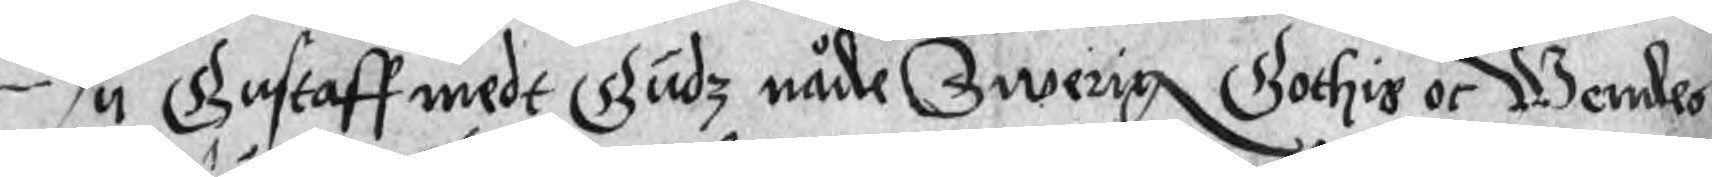Wy Gustaff medt Gudz nåde Swerig Gothis oc Wendes
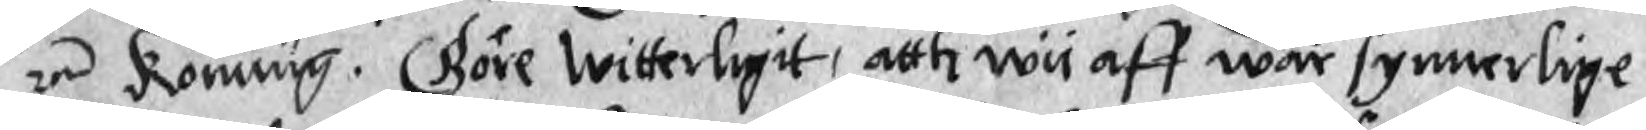re Konung. Göre Witterligit, atth wy aff wår synnerlige
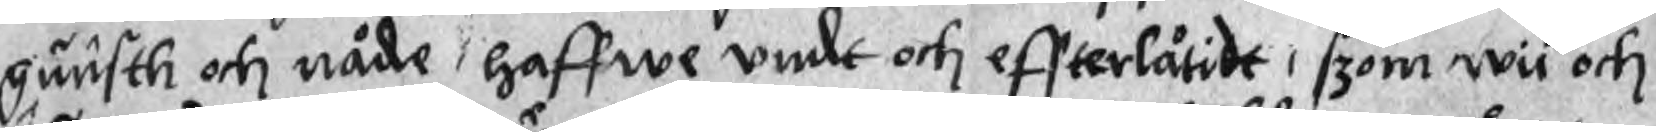qunsth och nåde, haffwe undt och effterlåtidt, szom wii och
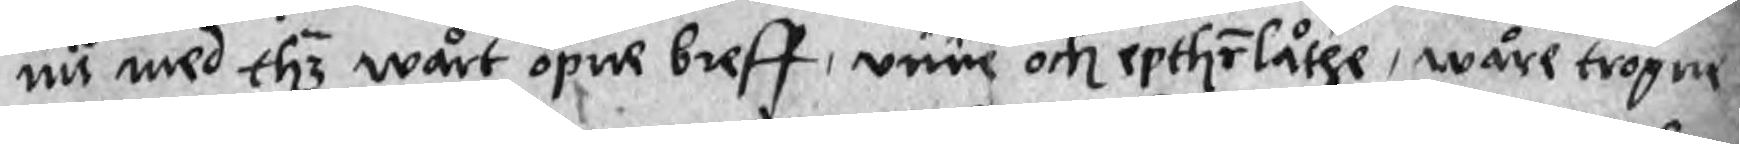nu med thz wårt öpne breff, unne och epthrlåthe, wåre trogne
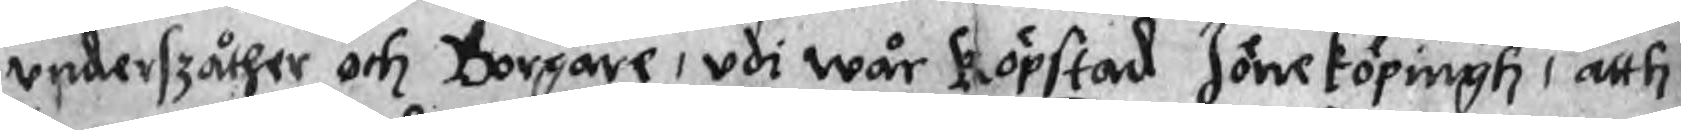underszåther och Borgare, udi wår köpstad Jöneköpingh, atth
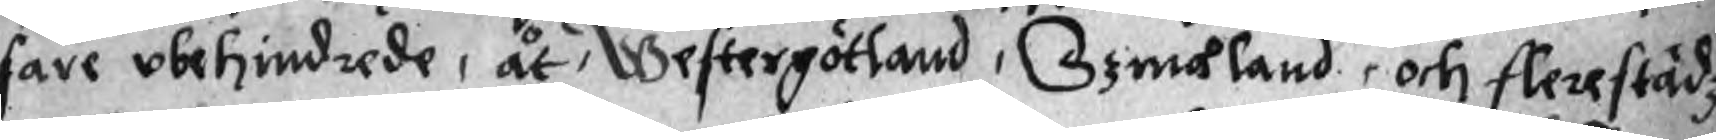fare obehindrade, åt, Westergötland, Szmåland, och flere städz
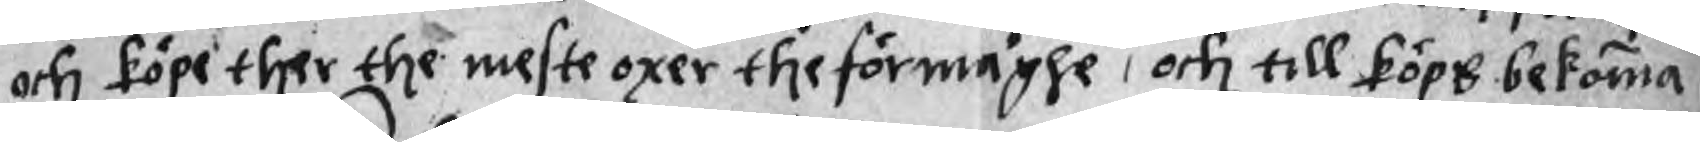och köpe ther the meste oxer the förmåghe, och till köps bekomma
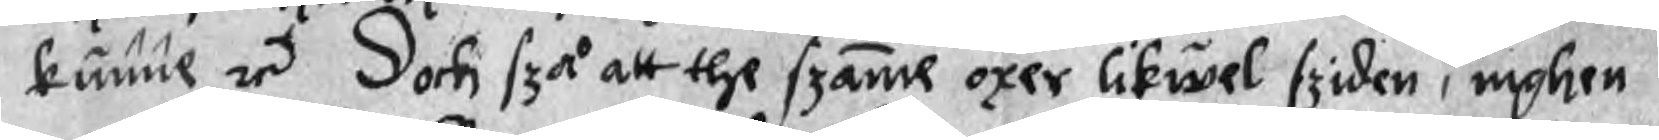kunne re Doch szå att the szame oxer likwel sziden, inghen
